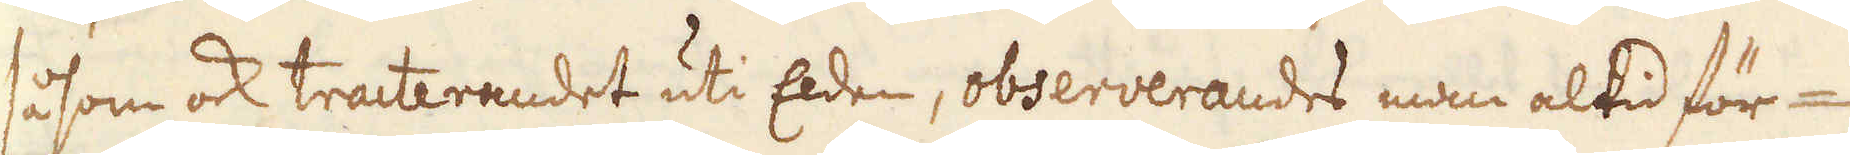såsom ock tracterandet uti Elden, observerandes man altid för-
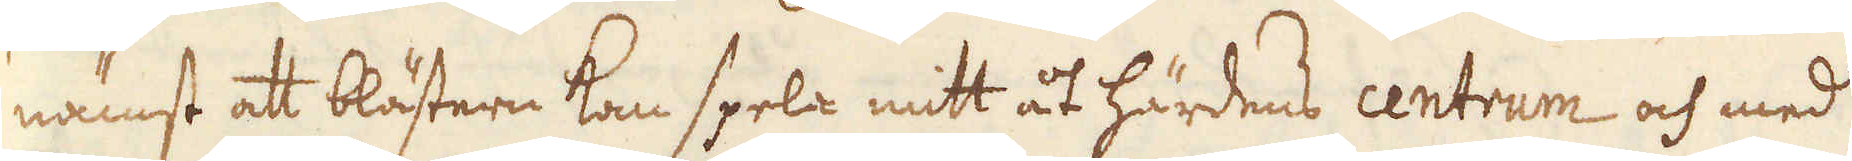nämst att blästern kan spela mitt åt härdens centrum och med
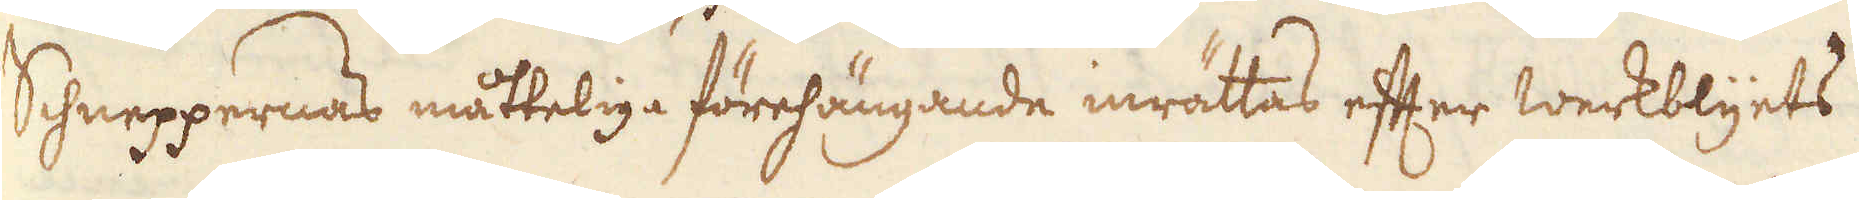Schneppernas måtteliga förehängande inrättas efter werkblyets
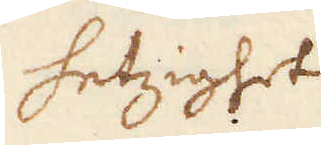hetzighet
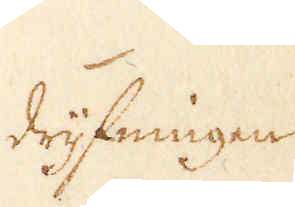drijfningen
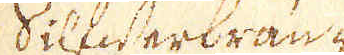Silfwerbrän-
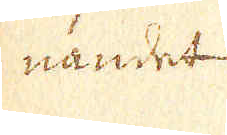nandet
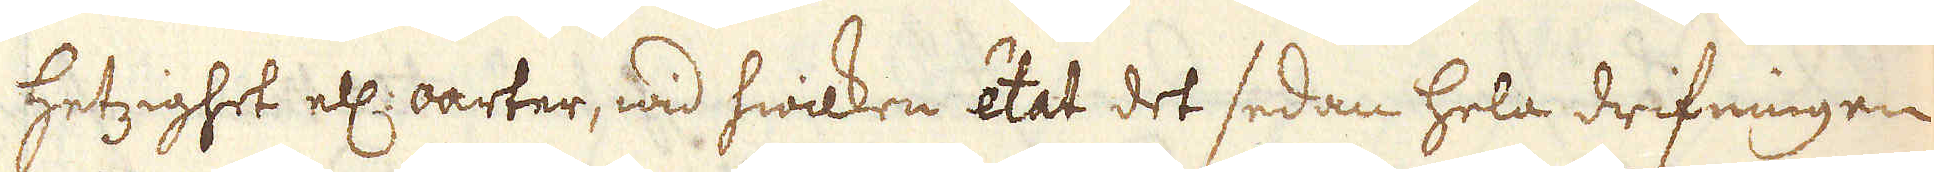hetzighet ell: oarter, wid hwilken état det sedan hela drifningen
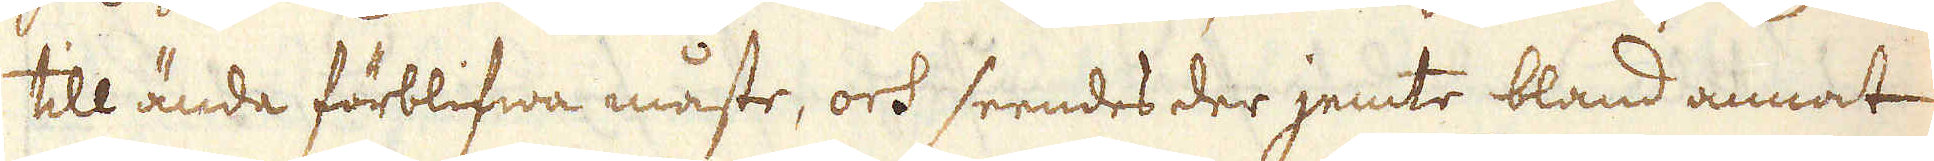till ända förblifwa måste, och seendes der jemte bland annat
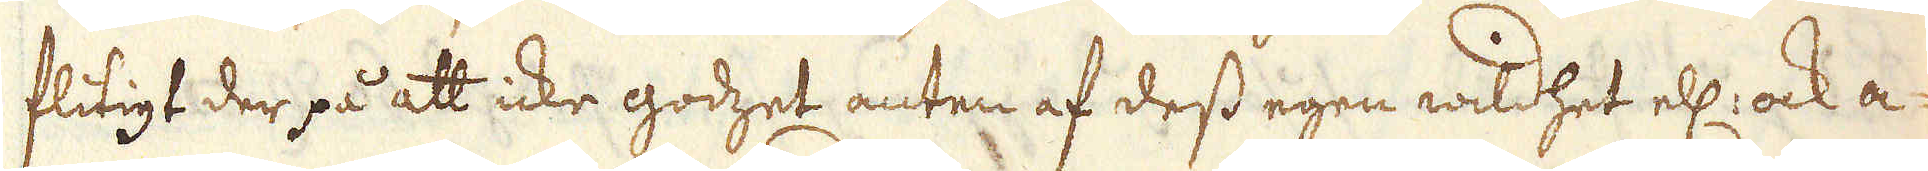flitigt der på att icke godzet anten af dess egen wildhet ell: ock a-
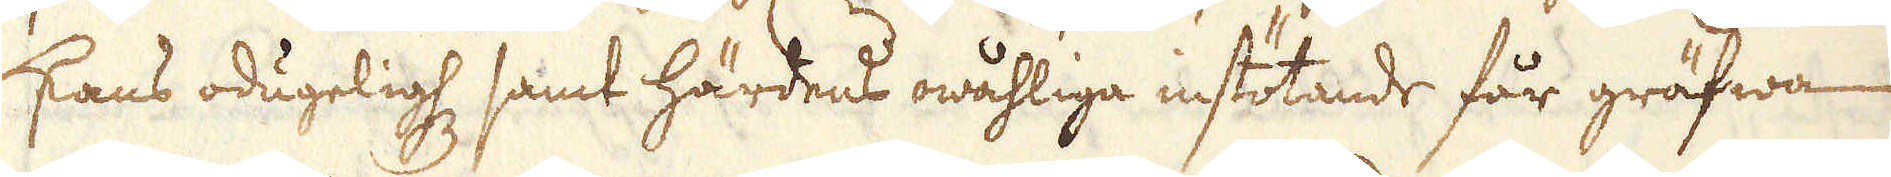skans odugelighet samt härdens owåhliga instötande får gräfwa
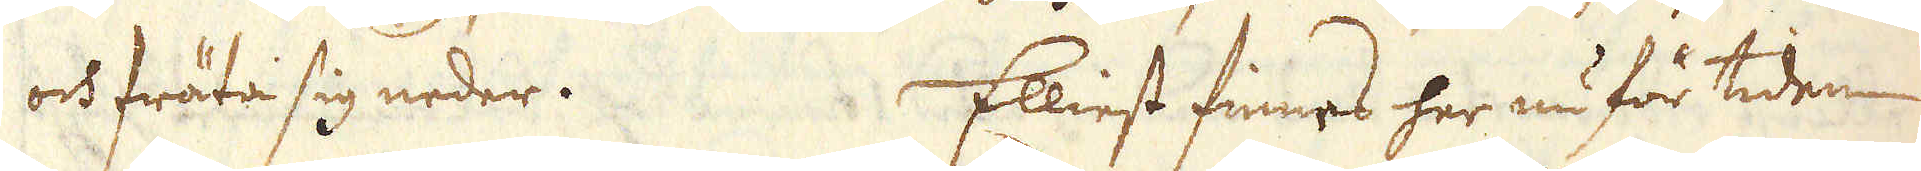och fräta sig neder. Elliest finnas her nu för tiden
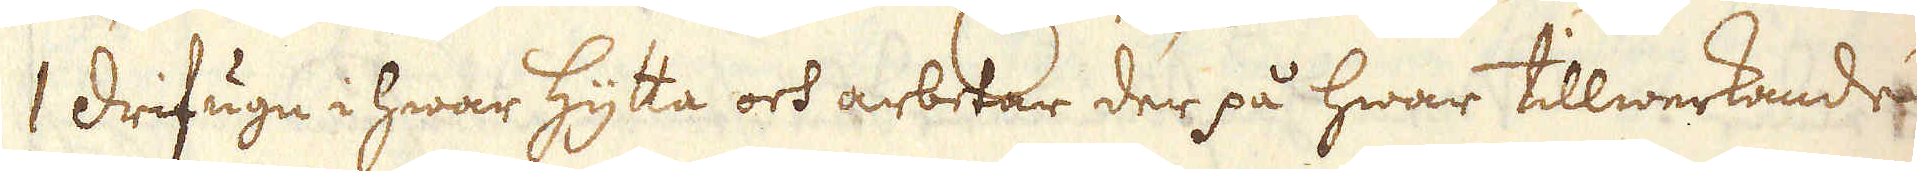1 drifugn i hwar Hytta och arbetar der på hwar tillwerkande
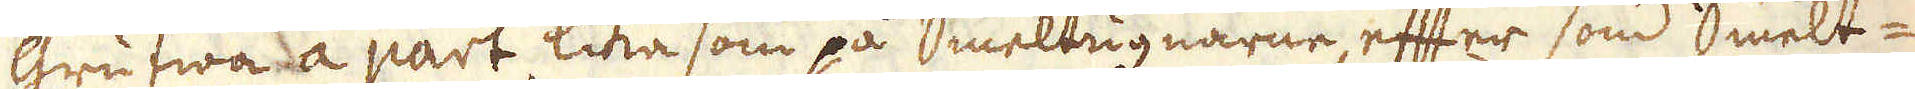grufwa à, lika som på Smeltugnarne, efter som Smelt-
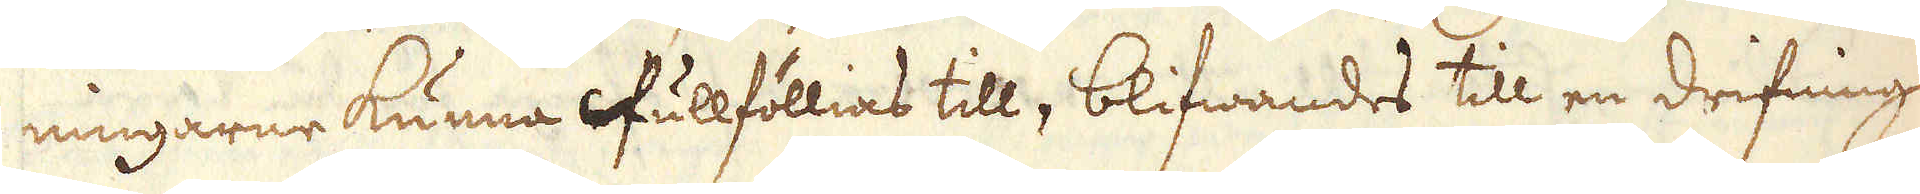ningarne kunna fullföllias till, blifwandes till en drifninge
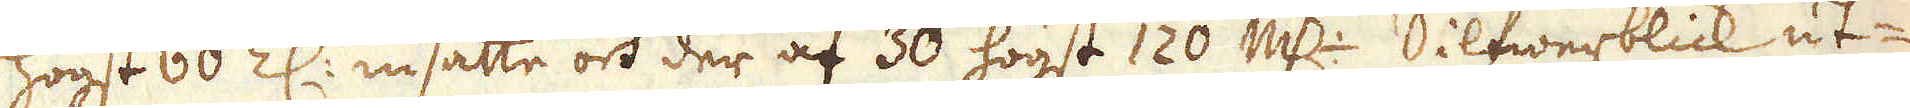högst 60 Z: insatte och der af 30 högst 120 marker silfwerblick ut-
